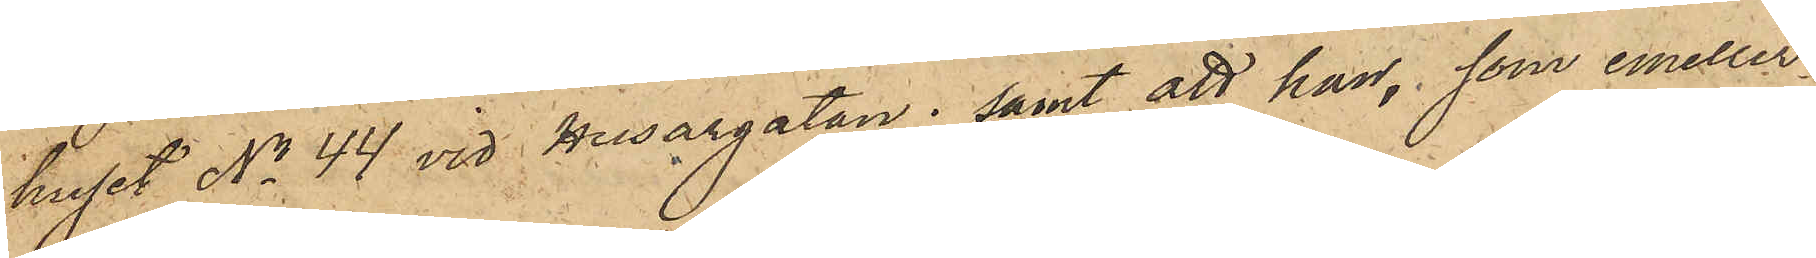huset No 44 vid Husargatan; samt att han, som emeller¬
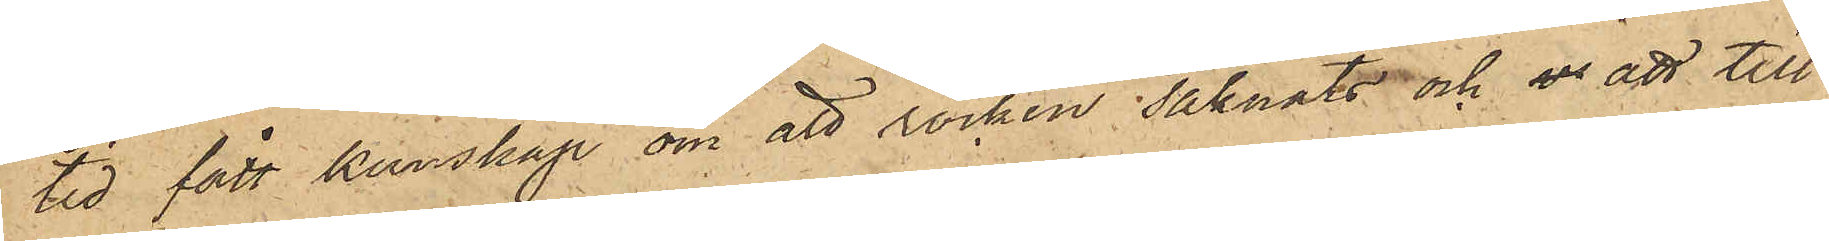tid fått kunskap om att rocken saknats och ur att till¬
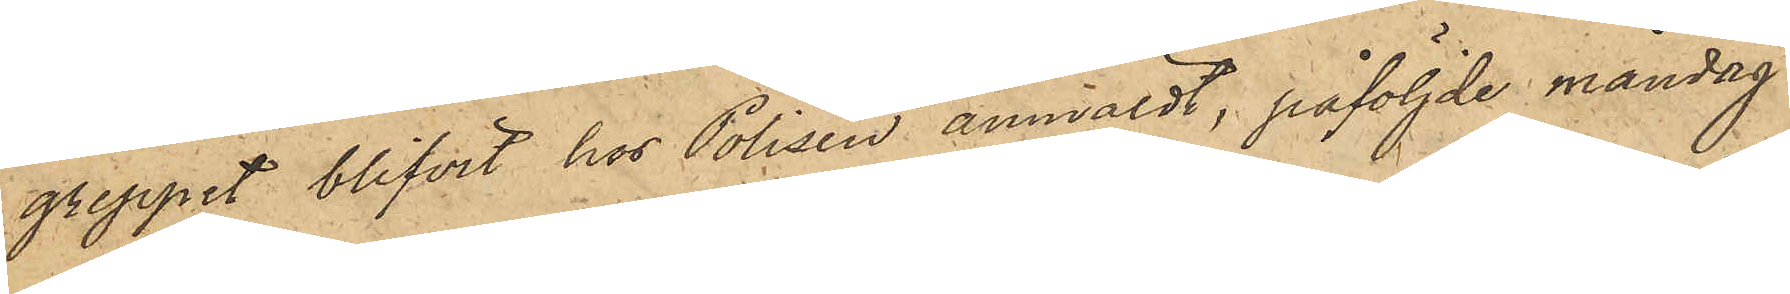greppet blifvit hos Polisen anmäldt, påföljde måndag
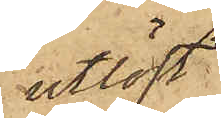utlöst
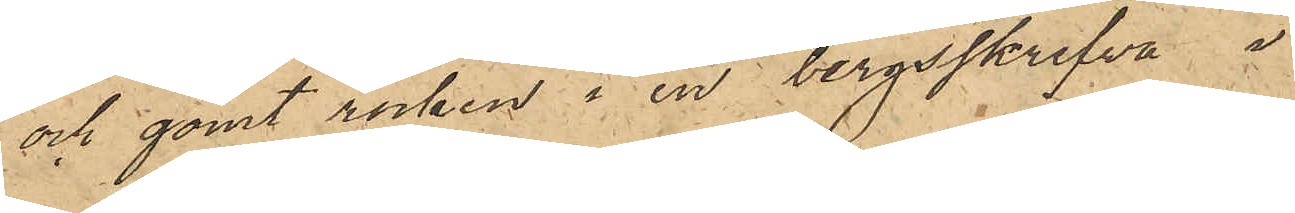och gömt rocken i en bergsskrefva i
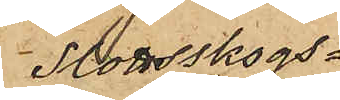Slottsskogs¬
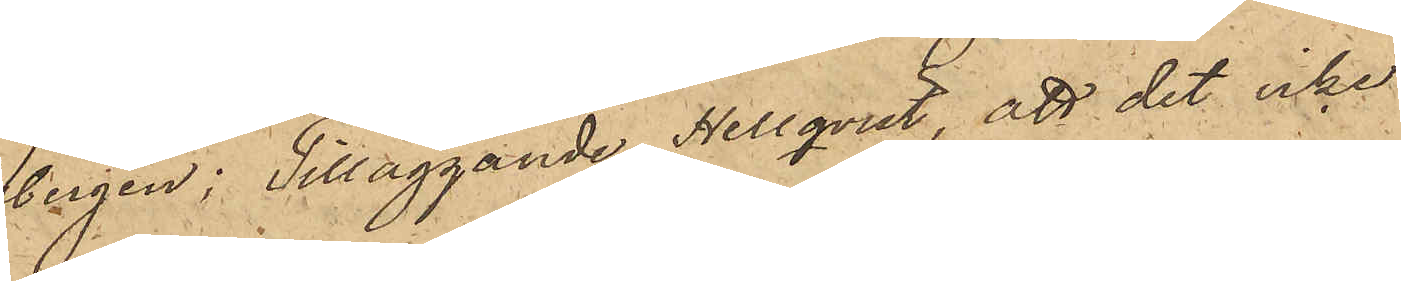bergen; Tilläggande Hellqvist, att det icke
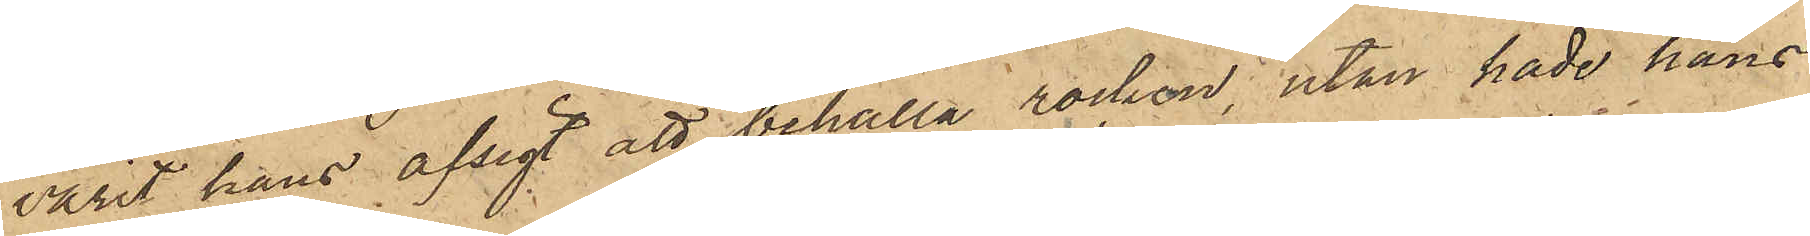varit hans afsigt att behålla rocken, utan hade hans
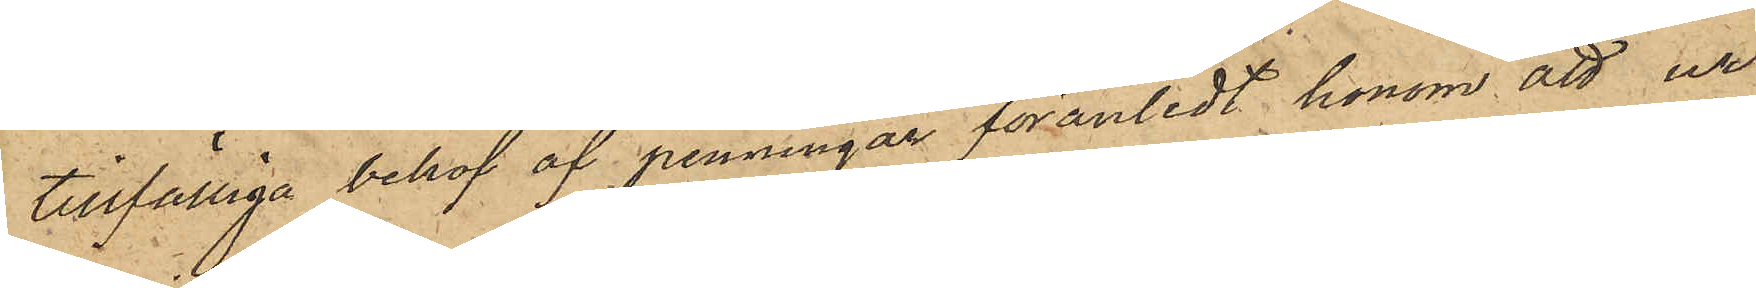tillfälliga behof af penningar föranledt honom att ur
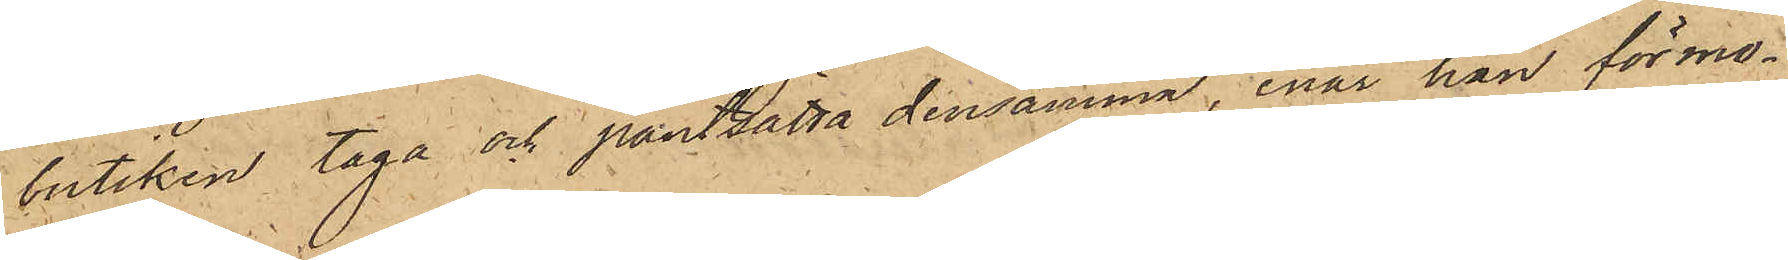butiken taga och pantsätta densamma, enär han förmo¬
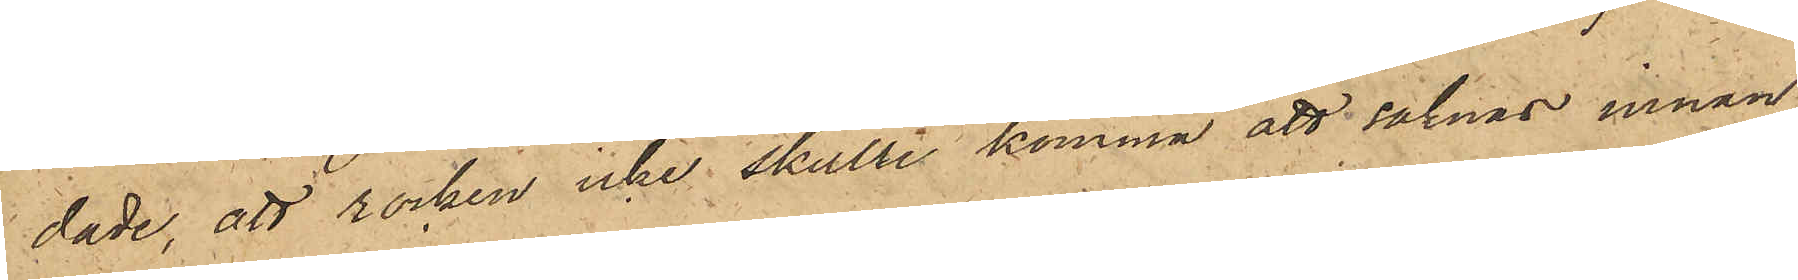dade, att rocken icke skulle komma att saknas innan
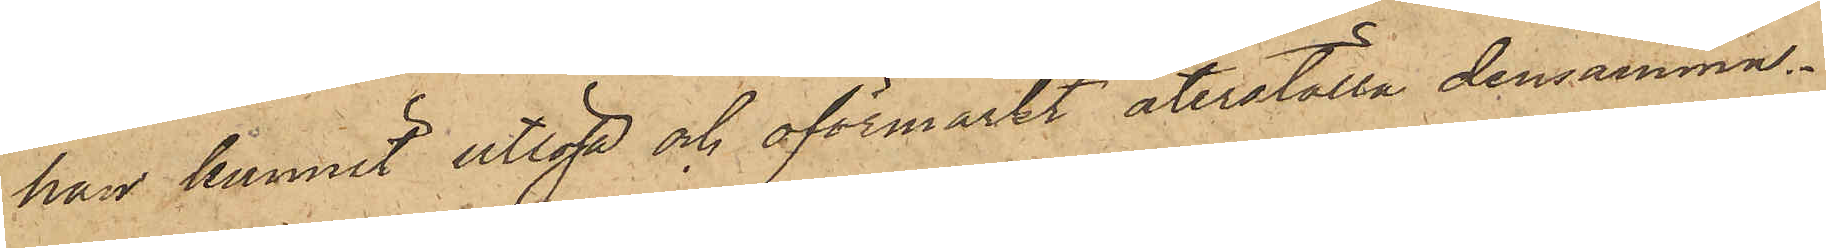han hunnit utlösa och oförmärkt återställa densamma.
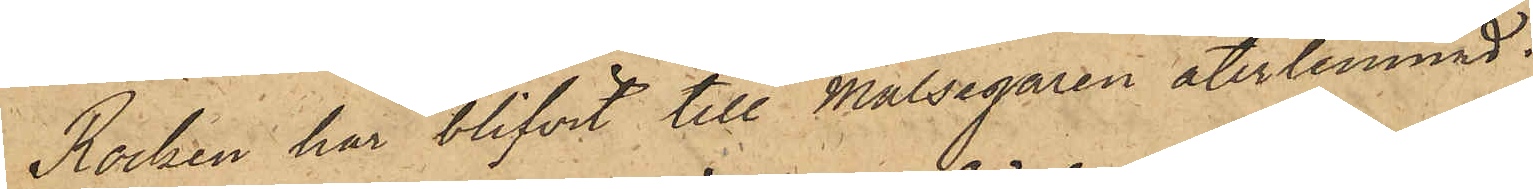Rocken har blifvit till Målsegaren återlemnad.
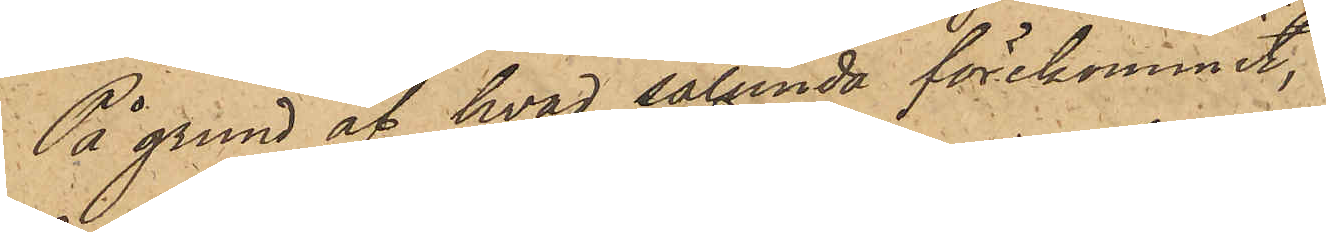På grund af hvad sålunda förekommit,
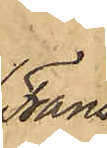Frans
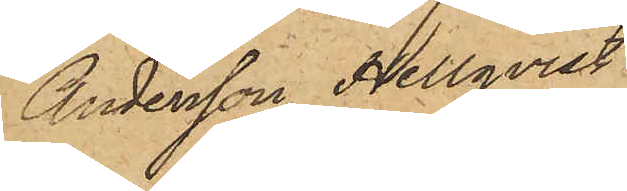Andersson Hellqvist
